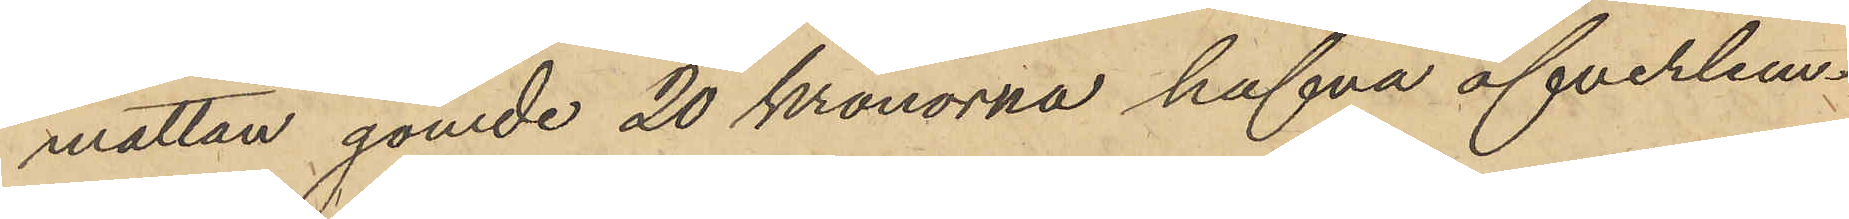mattan gömde 20 kronorna hafva öfverlem¬
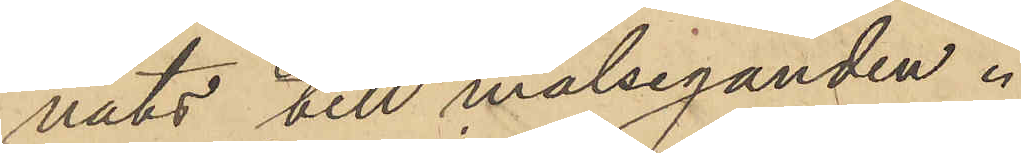nats till målseganden.
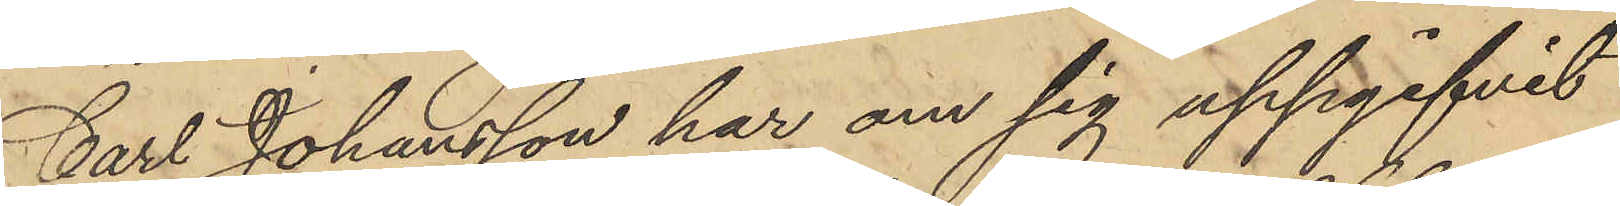Carl Johansson har om sig uppgifvit
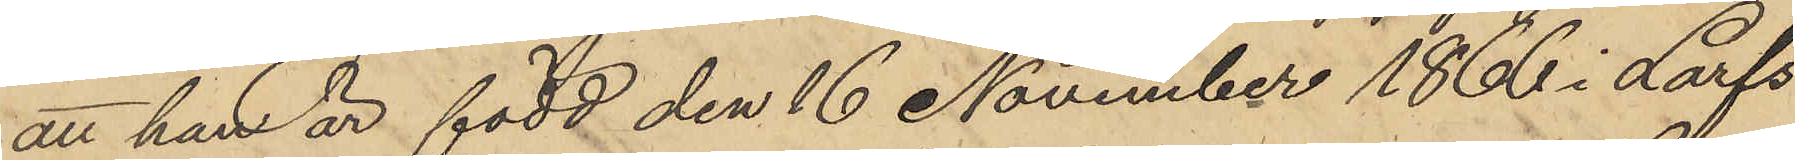att han är född den 16 November 1866 i Larfs
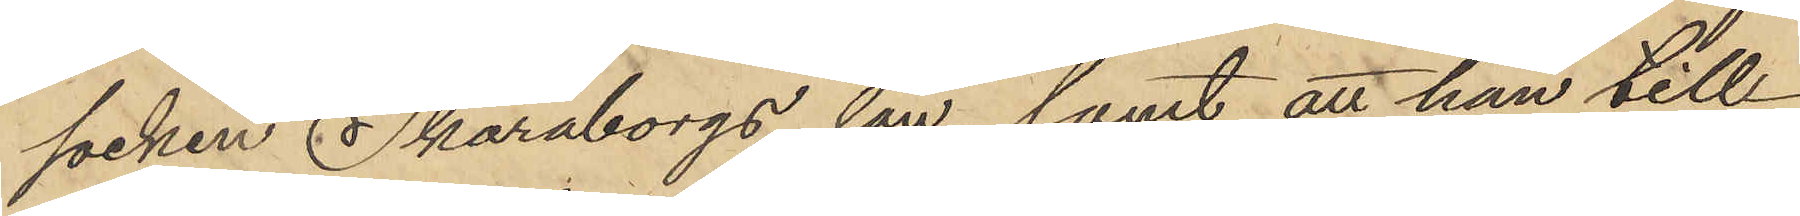socken Skaraborgs län, samt att han till¬
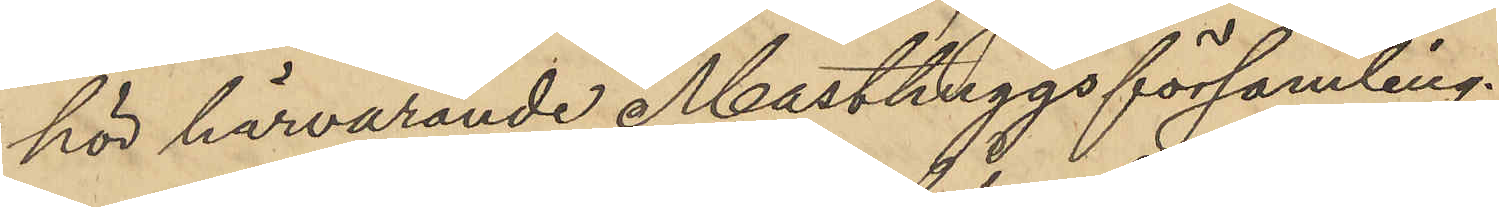hör härvarande Masthuggsförsamling.
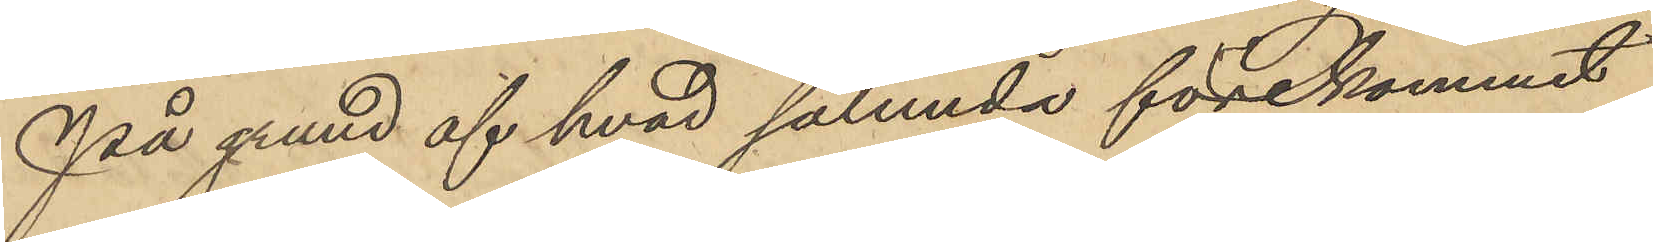På grund af hvad sålunda förekommit
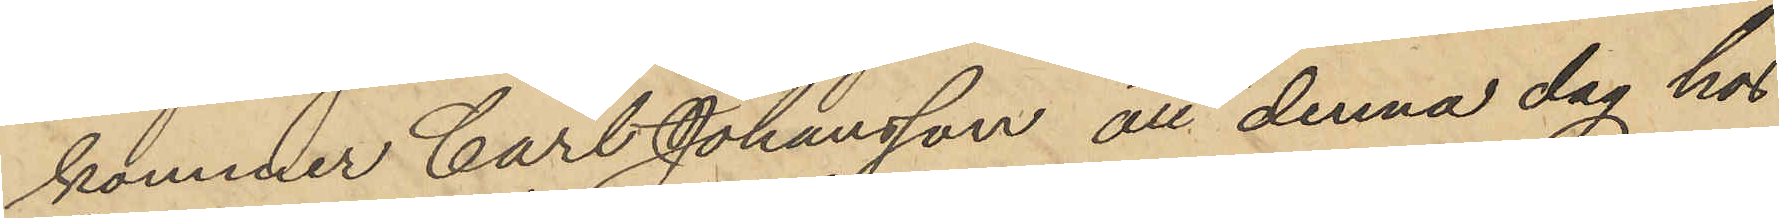kommer Carl Johansson att denna dag hos
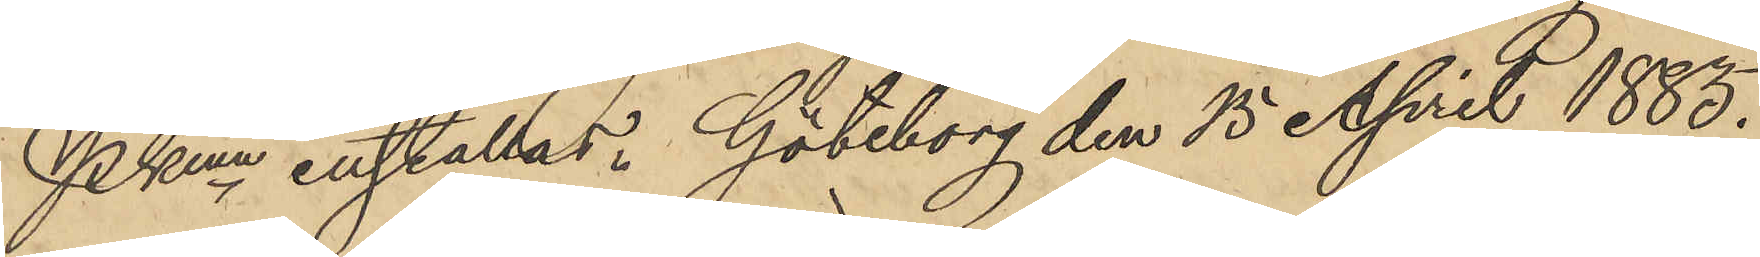PKmn inställas. Göteborg den 15 April 1885.
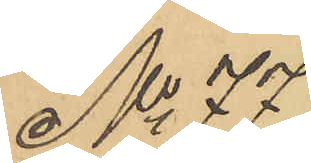No 77
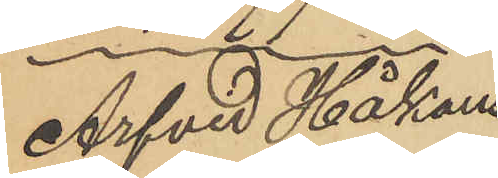Arfvid Håkans¬
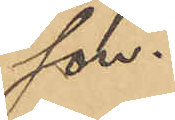son.
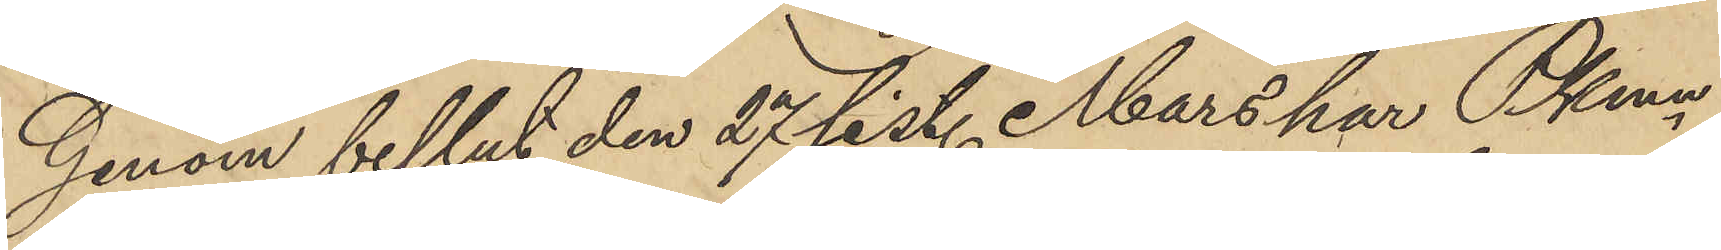Genom beslut den 27 sist. Mars har Pkmn
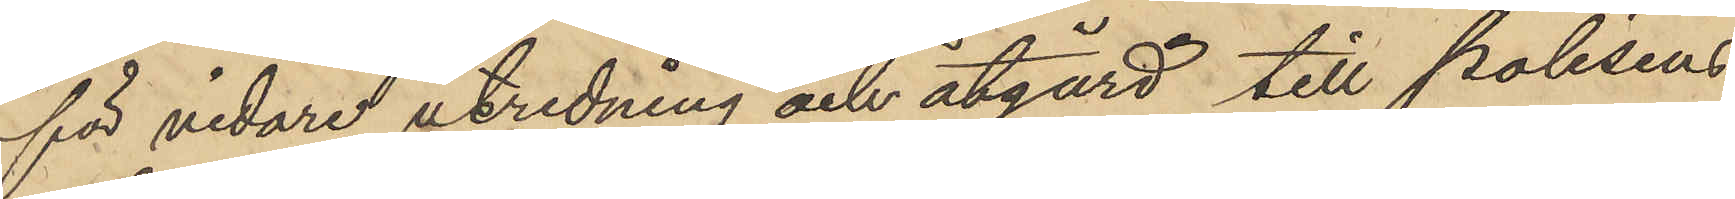för vidare utredning och åtgärd till polisens
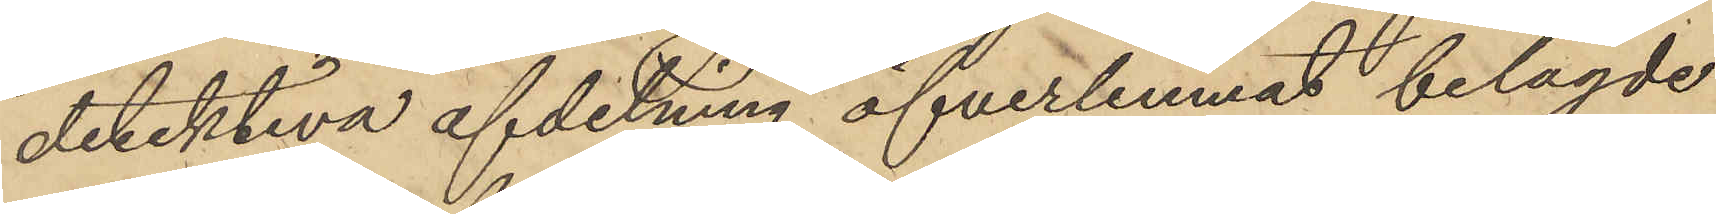detektiva afdelning öfverlemnat belagde
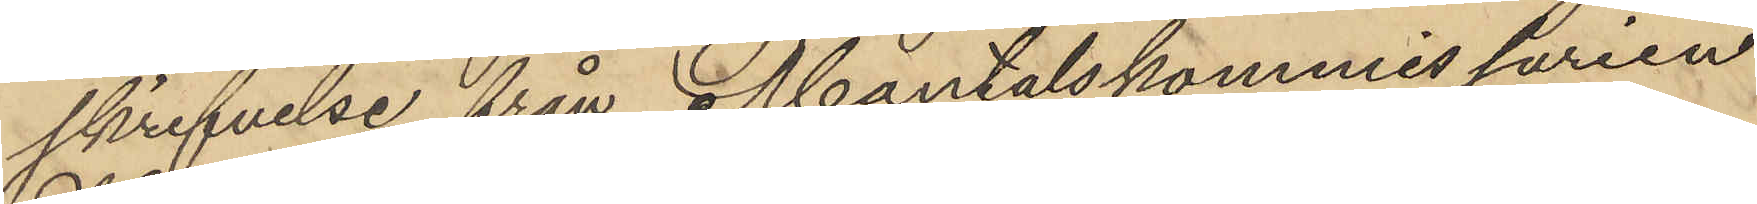skrifvelse från Mantalskommissarien
